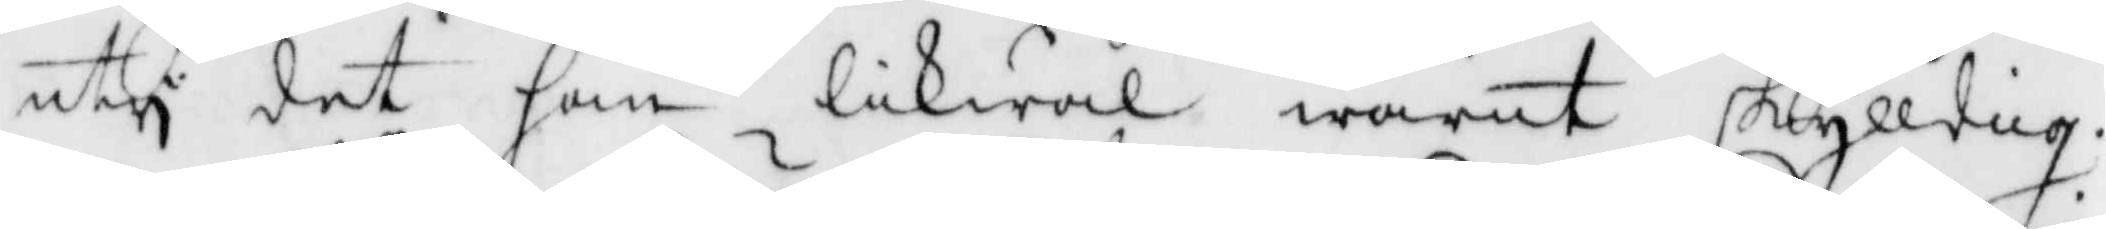uty det han likwäl warit skylldig.
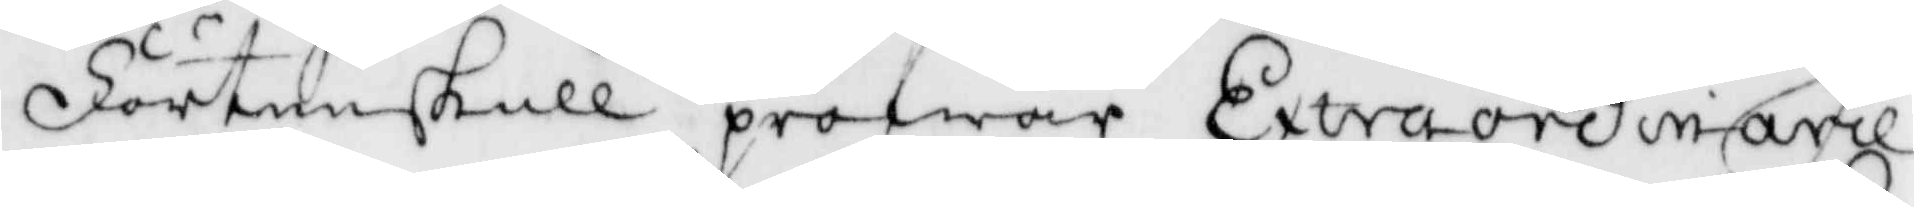Förtenskull pröfwar Extraordinarie
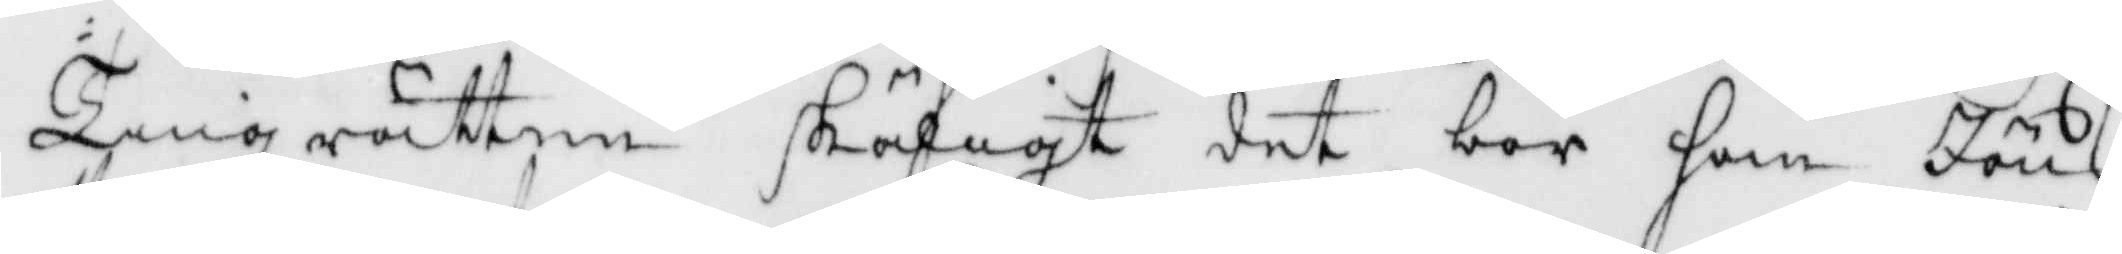Tingzrätten skäligt det bör han Jöns
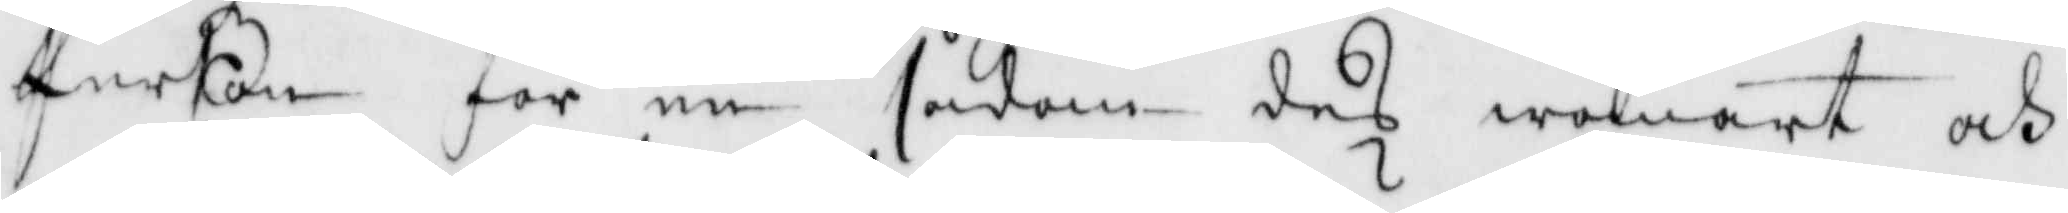Person för en sådan des wanart och
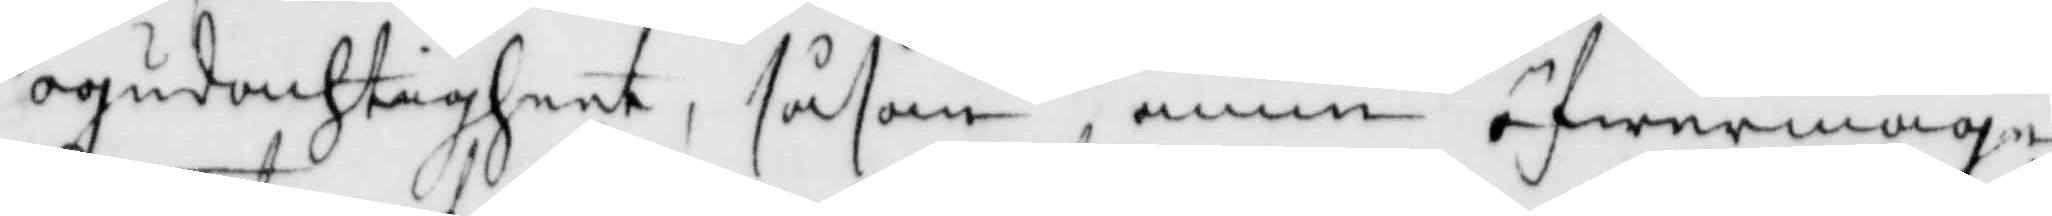ogudachtigheet, såsom ännu öfwermage
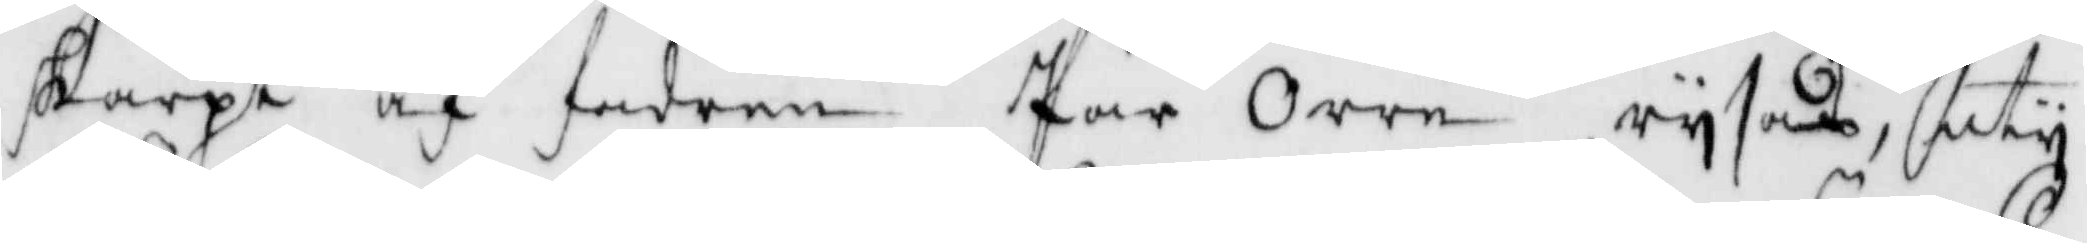skarpt af fadren Pär orre rysas, uty
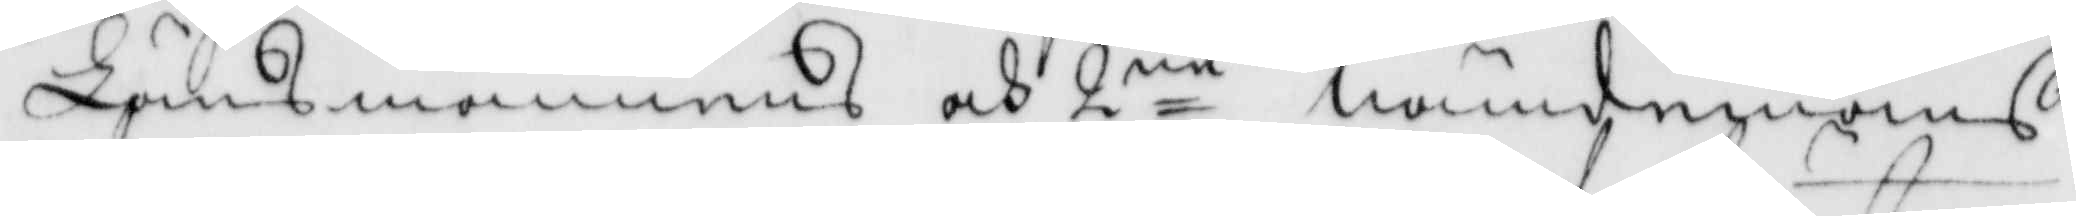Länsmannes och 2ne nämdmäns
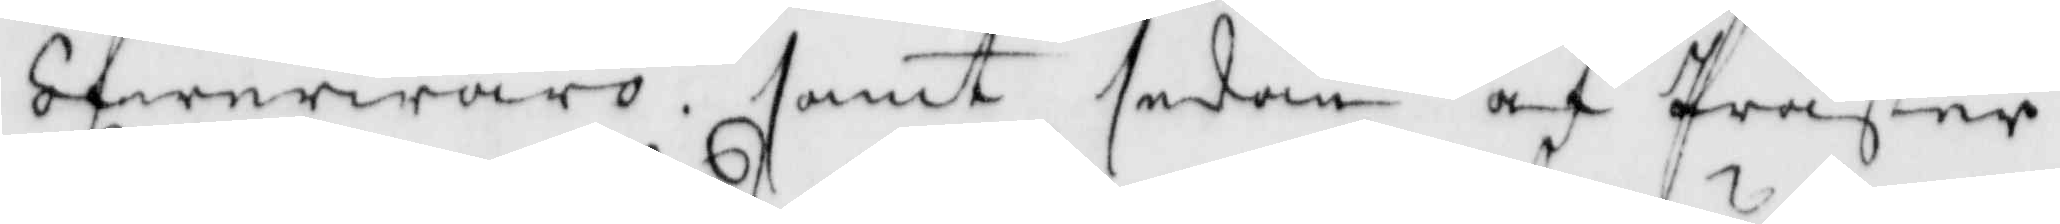öfwerwaro, samt sedan af Präster¬
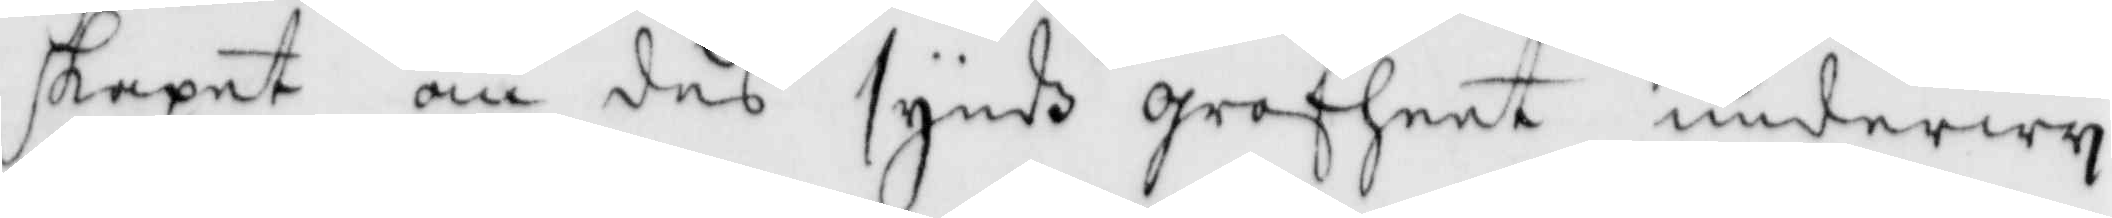skapet om des syndz grofheet underwy¬
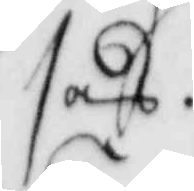sas.
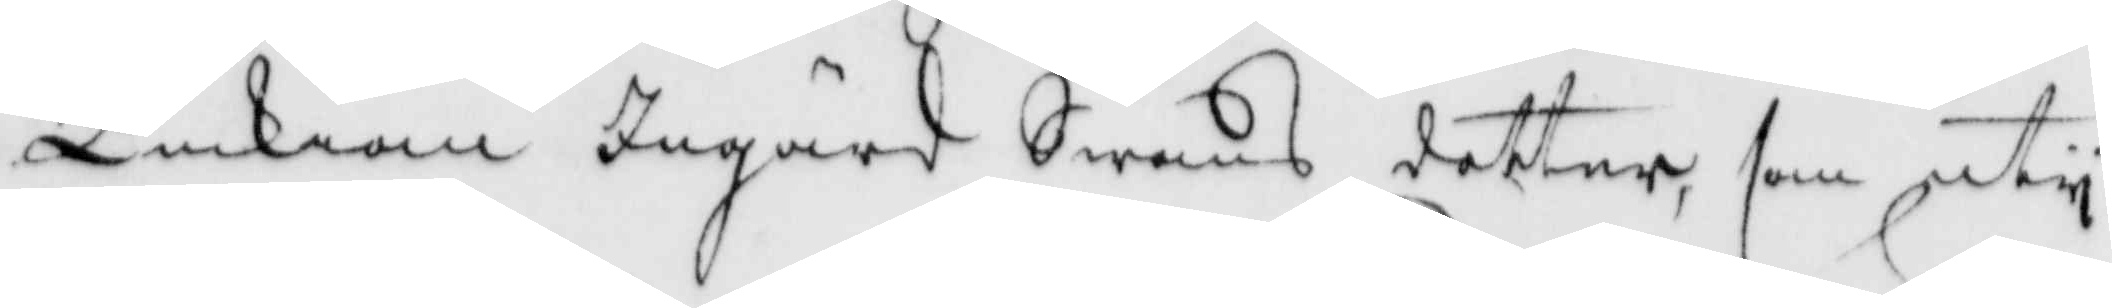Enkian Ingärd Swäns dotter, som uty
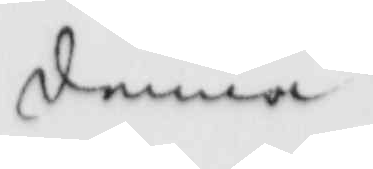denna
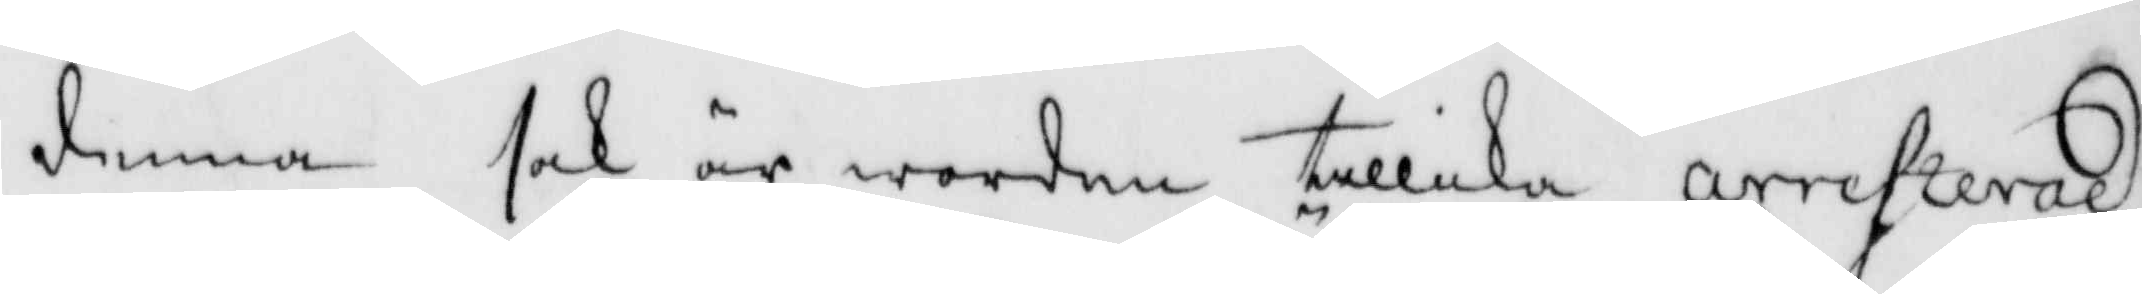denna sak är worden tillika arresterad
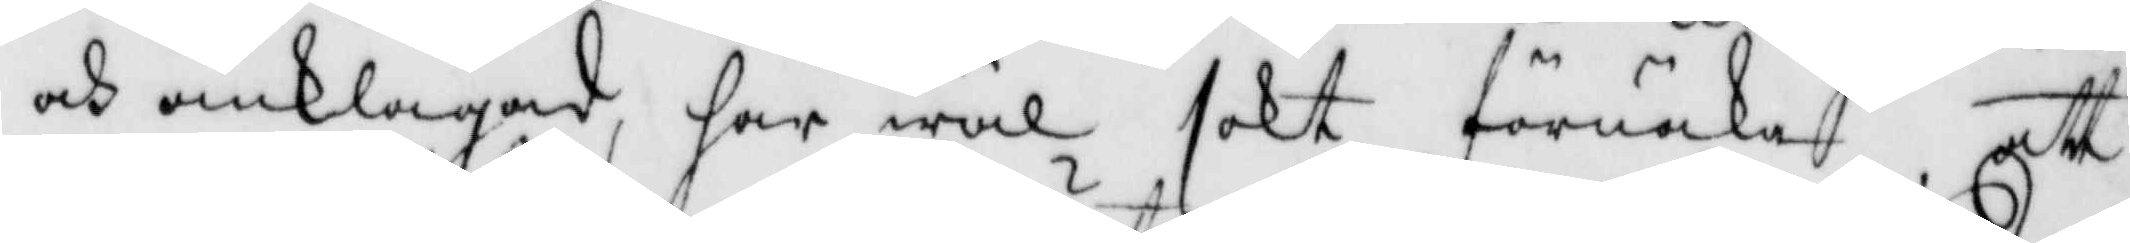och anklagad, har wäl sökt förnäka att
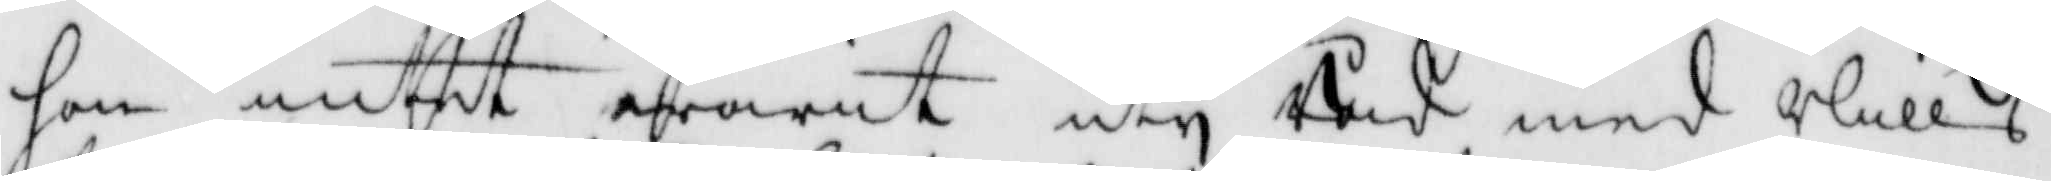hon intet warit uty Råd med Nills
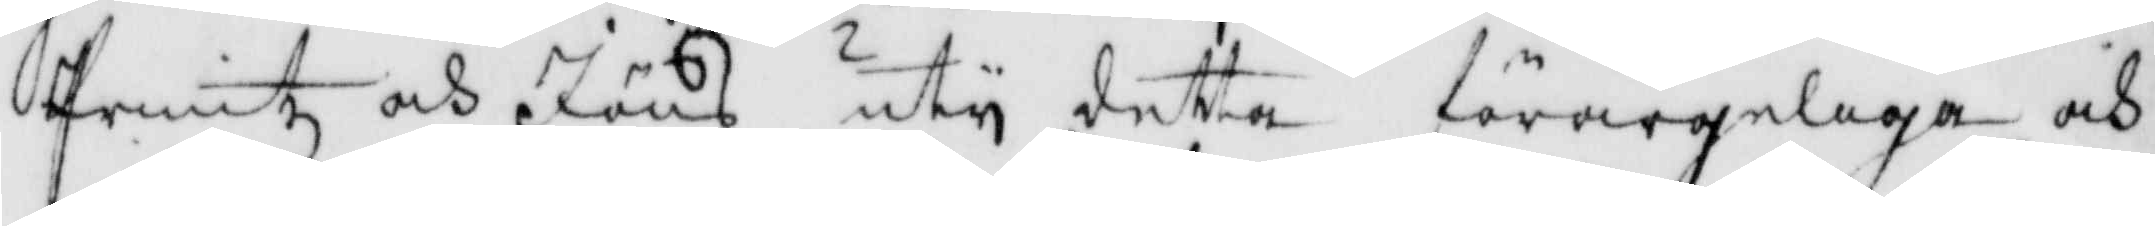Printz och Jöns uty detta förargeliga och
